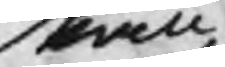skall
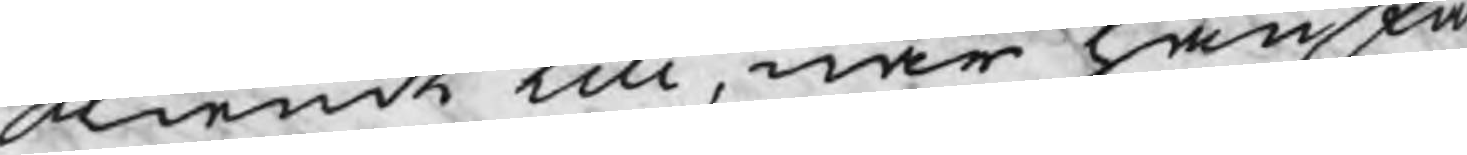kiendt till, när han fi
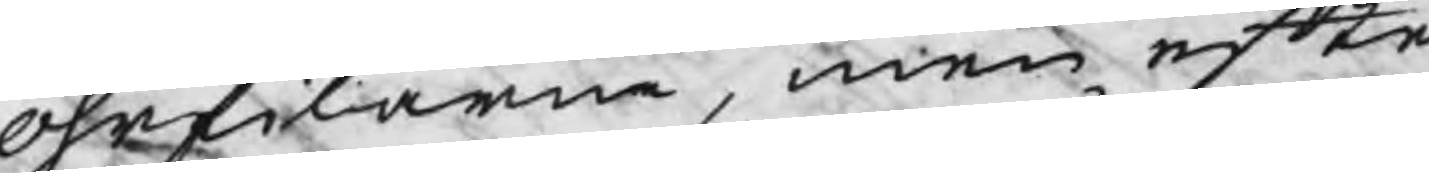öhrfilarna, men, efte
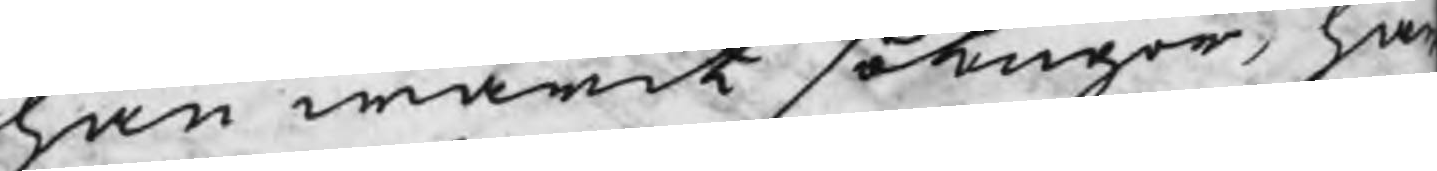han warit sotuger, ha
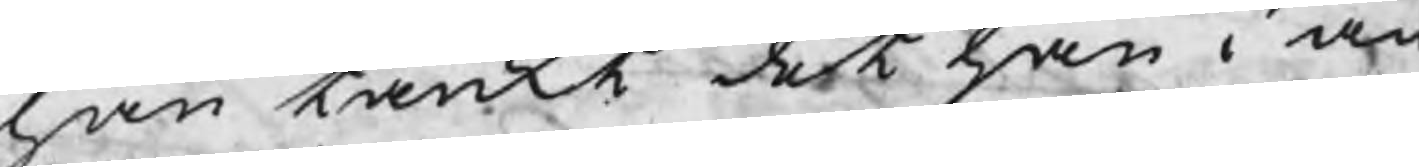han tänkt det han i an
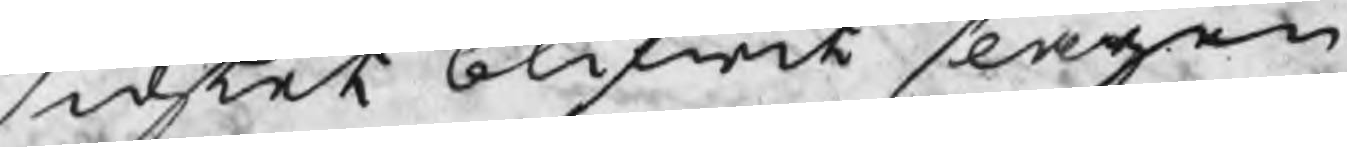sichtet blifwit slagen
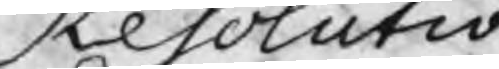Resolutio
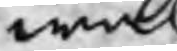wäl
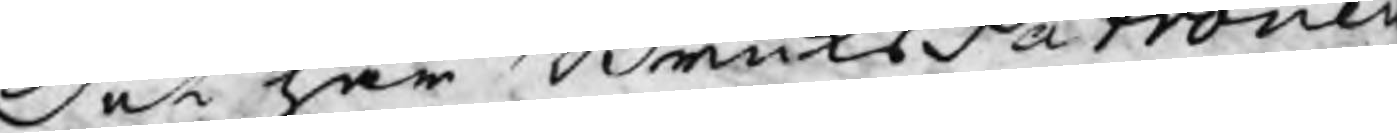Det har BruksPatrone
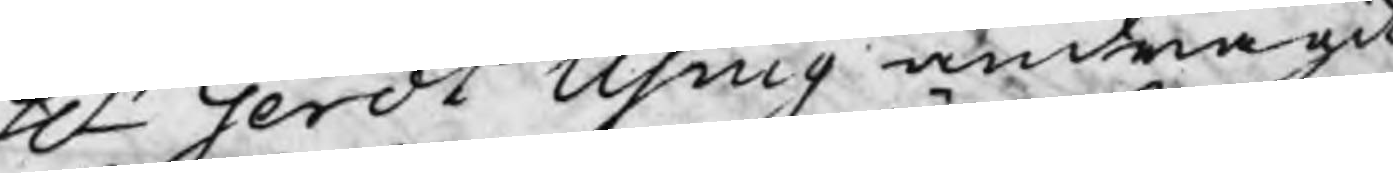Hr Gerdt Using andragit
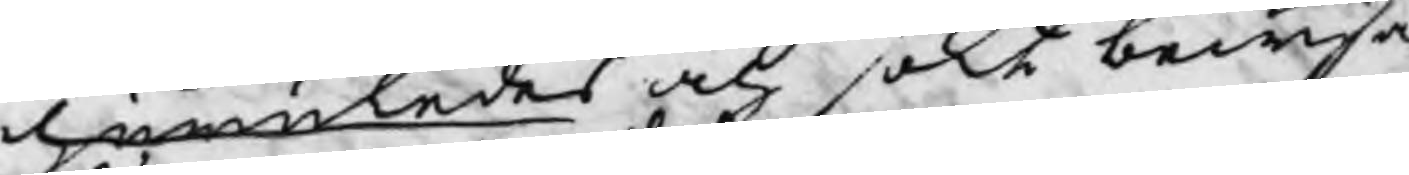huruledes och sökt bewisa
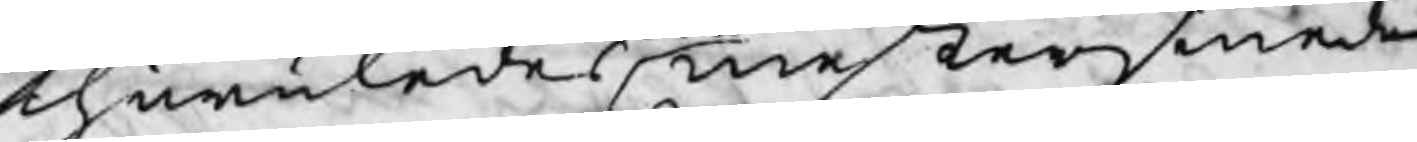huruledes mestersmeden
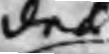des
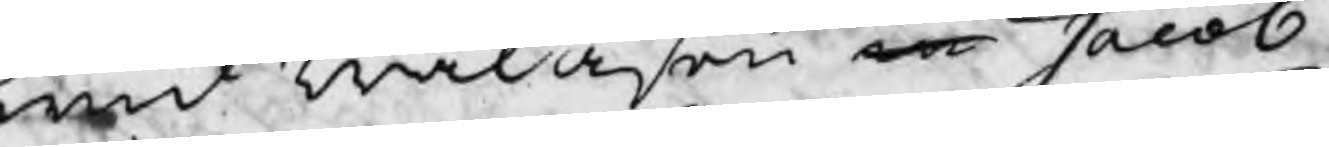wid Walåsen m Jacob
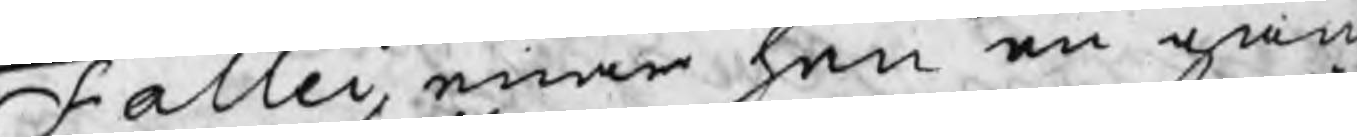Fallei, enär han en gån
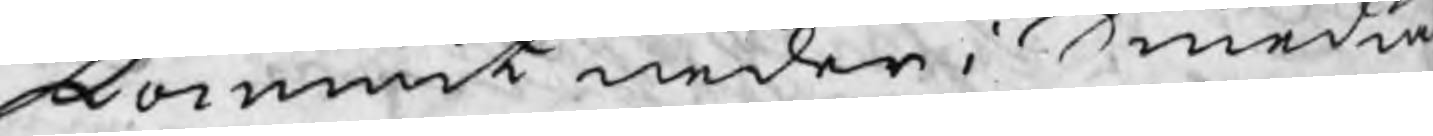kommit neder i Smedia
